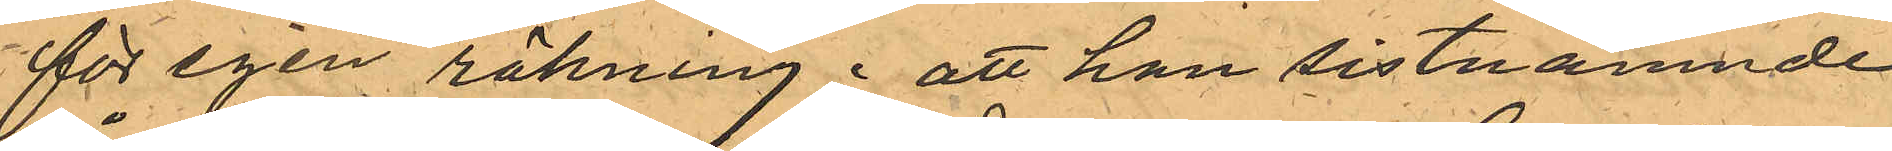för egen räkning; att han sistnämnde
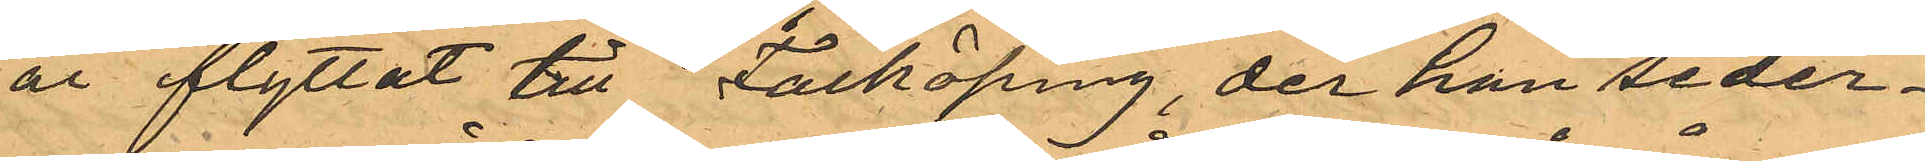år flyttat till Falköping, der han seder¬
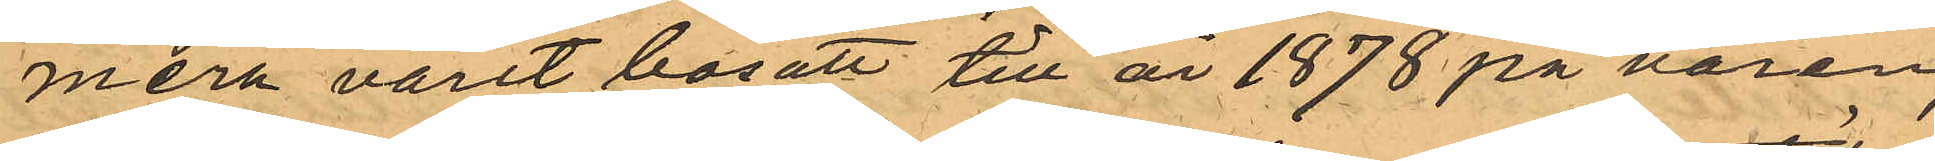mera varit bosatt till år 1878 på våren,
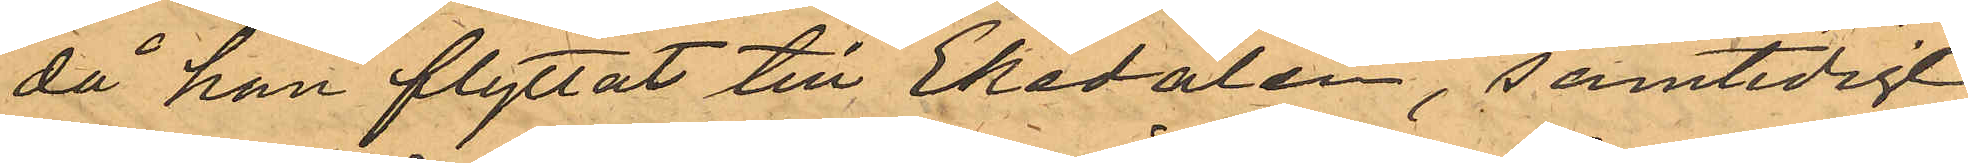då han flyttat till Ekedalen, samtidigt
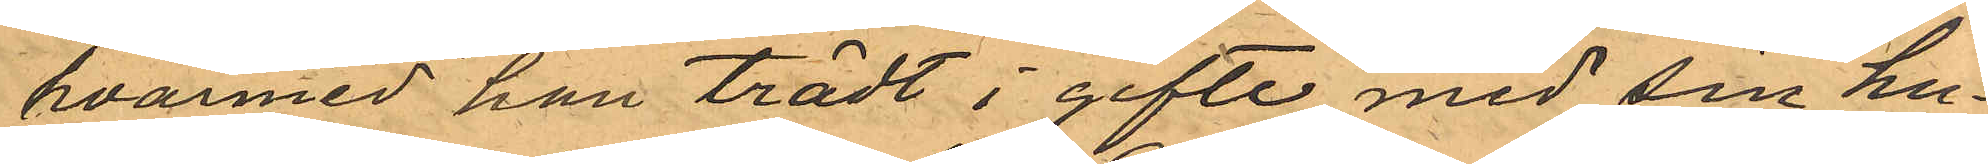hvarmed han trädt i gifte med sin hu¬
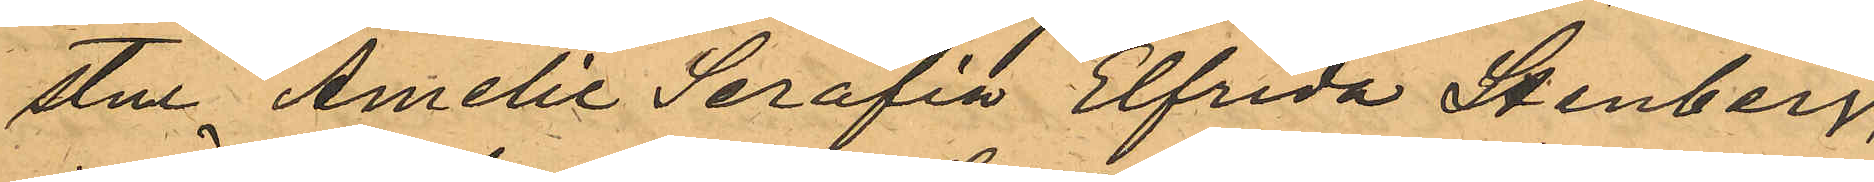stu Amelie Serafia Elfrida Stenberg,
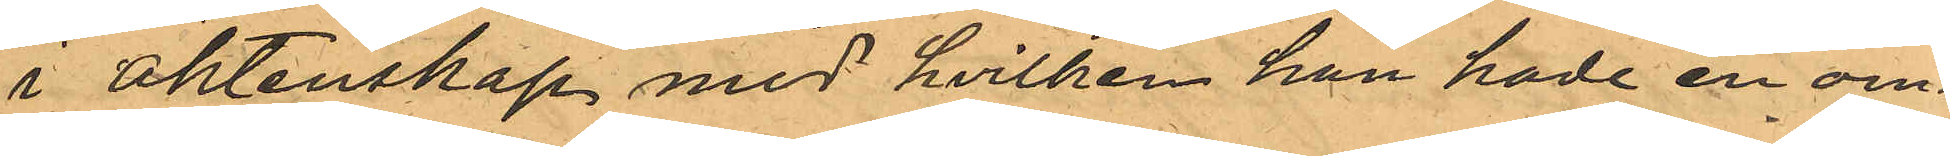i äktenskap med hvilken han hade en om¬
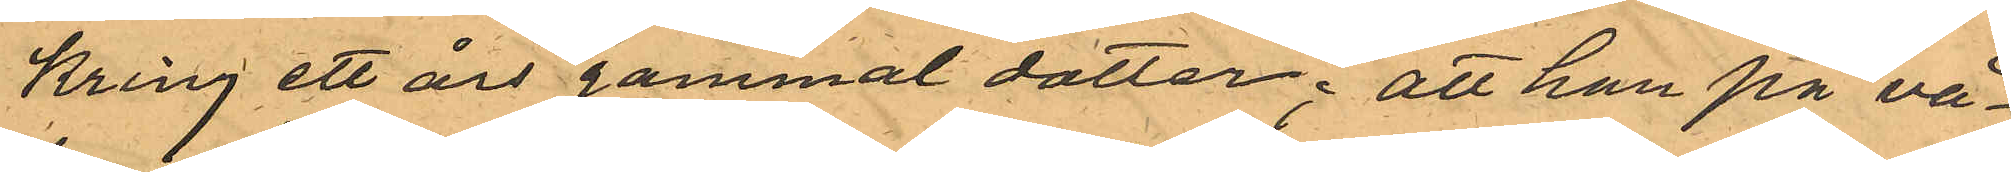kring ett års gammal dotter; att han på vå¬
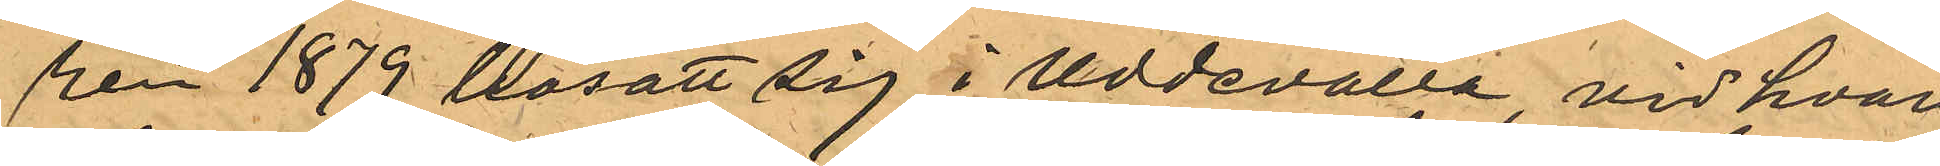ren 1879 bosatt sig i Uddevalla, vid hvars
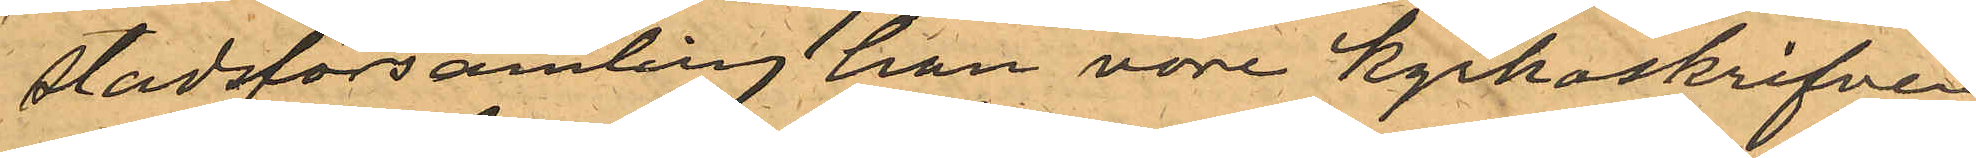Stadsförsamling han vore kyrkoskrifven
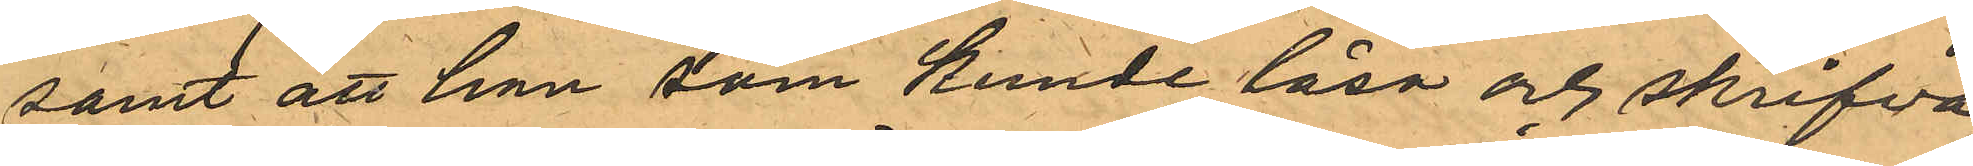samt att han som kunde läsa och skrifva
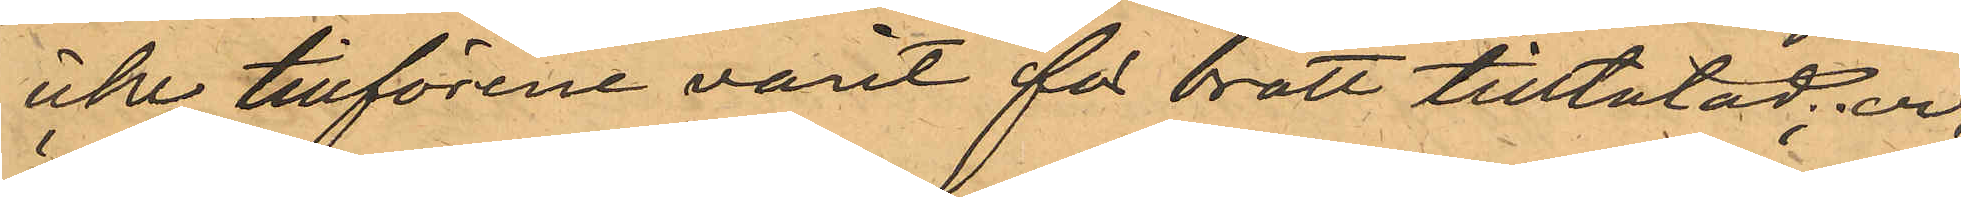icke tillförene varit får brott tilltalad; och
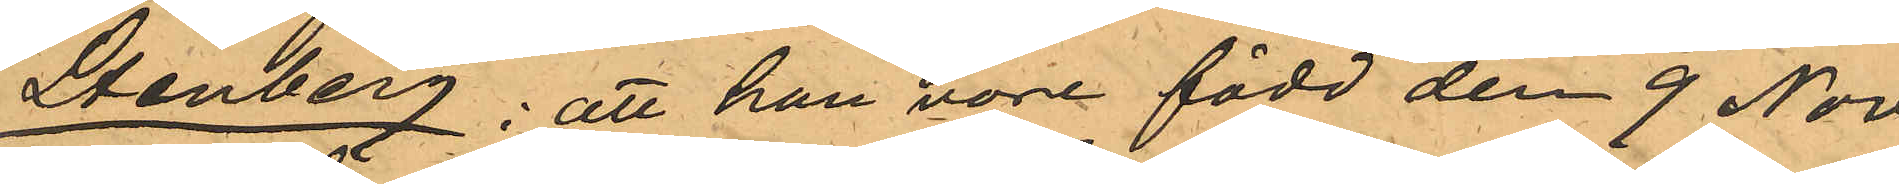Stenberg; att han vore född den 9 Nov.
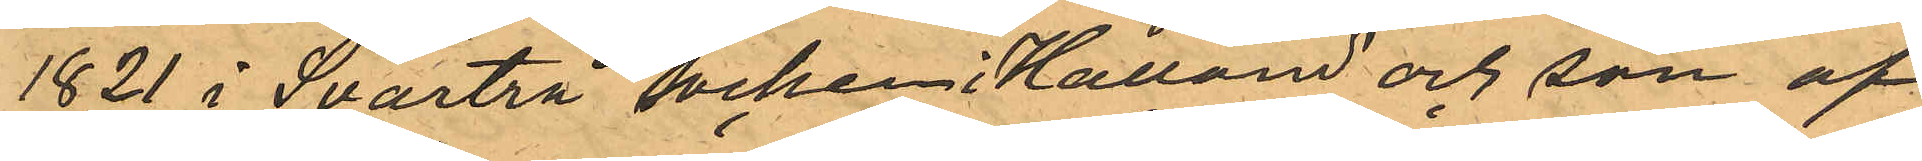1821 i Svartrå socken i Halland och son af¬
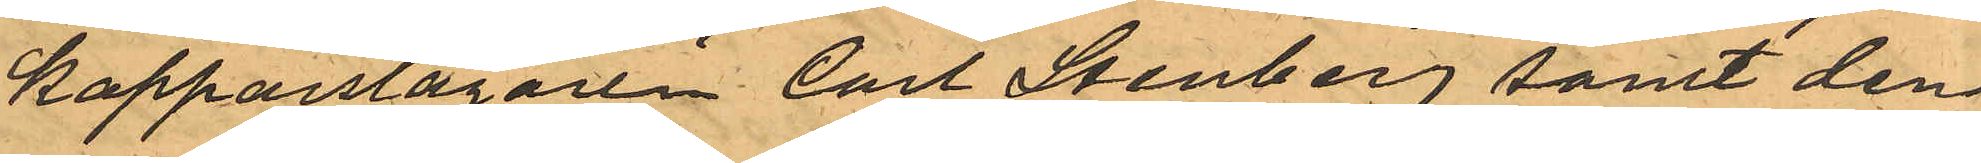Kopparslagaren Carl Stenberg samt den¬
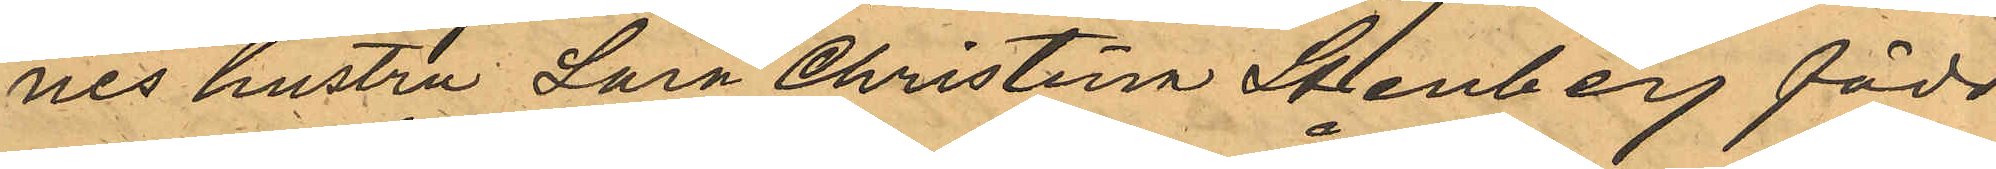nes hustru Sara Christina Stenberg född
